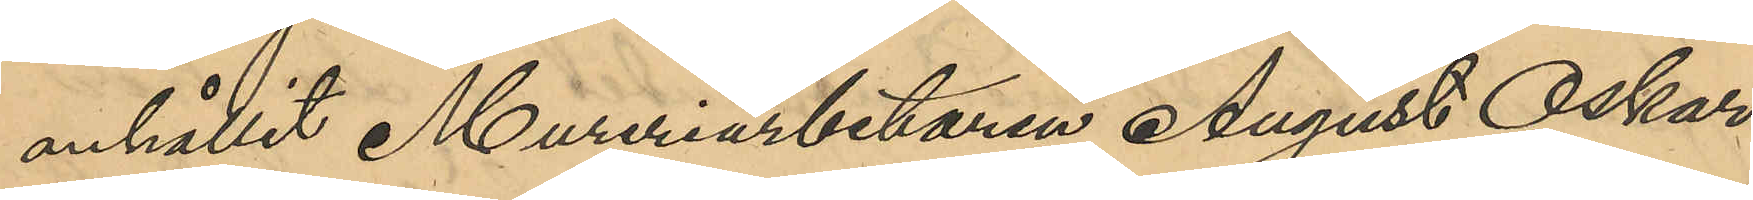anhållit Mureriarbetaren August Oskar
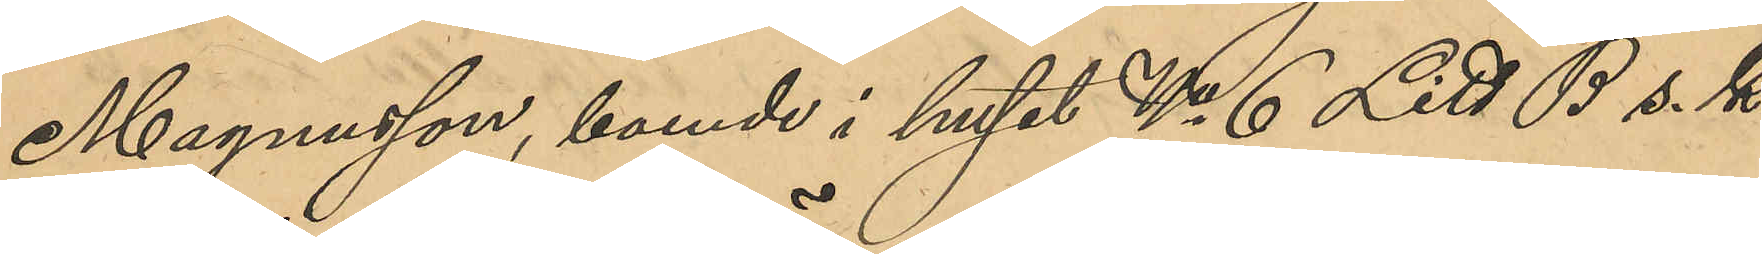Magnusson, boende i huset No 6 vid Litt. B s. k.
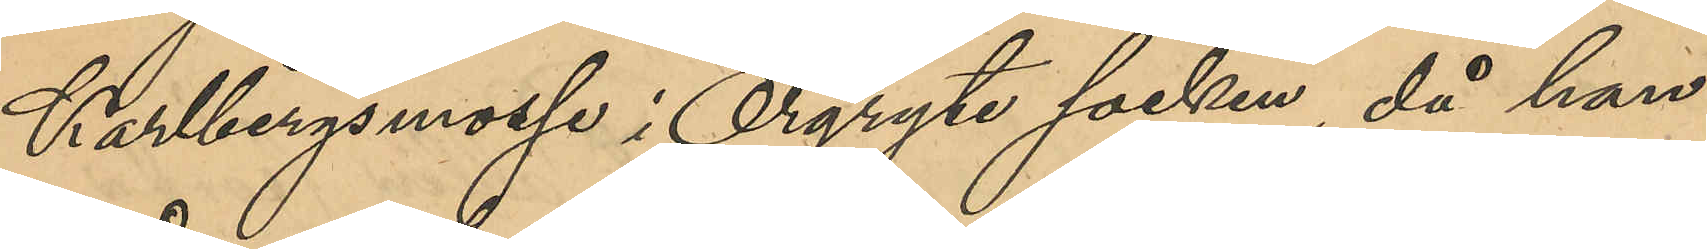Karlbergsmosse i Örgryte socken, då han
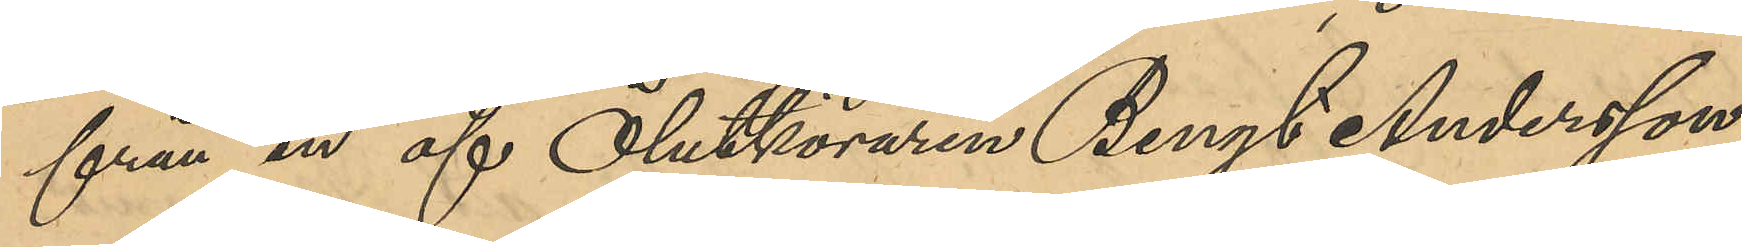från en af Ölutköraren Bengt Andersson,
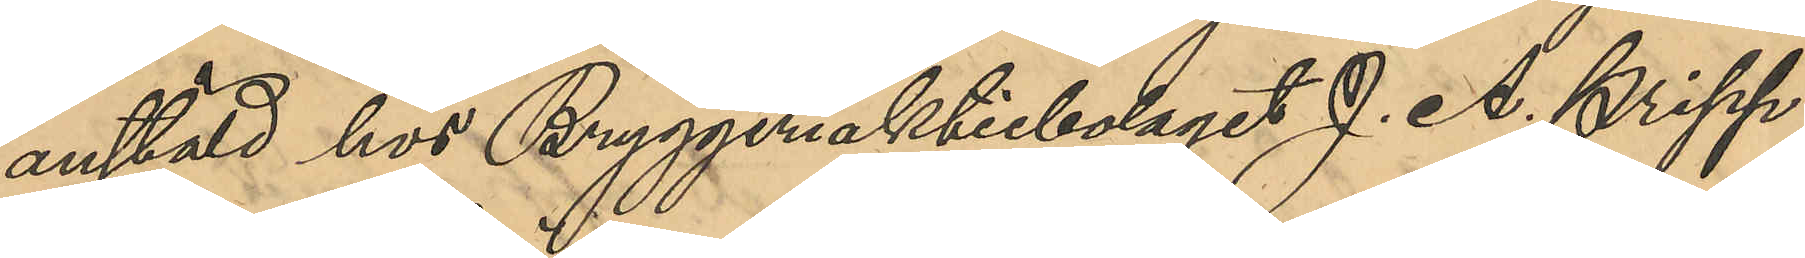anstäld hos Bryggeriaktiebolaget J. A. Pripp
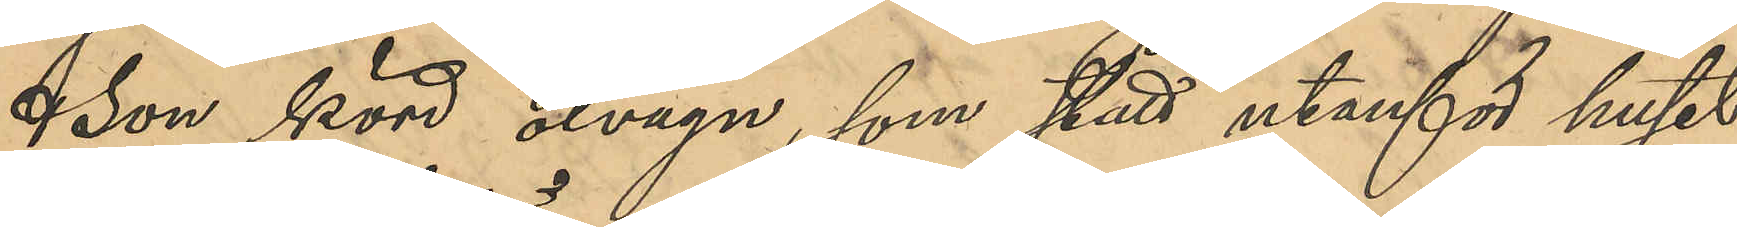& Son körd ölvagn, som stått utanför huset
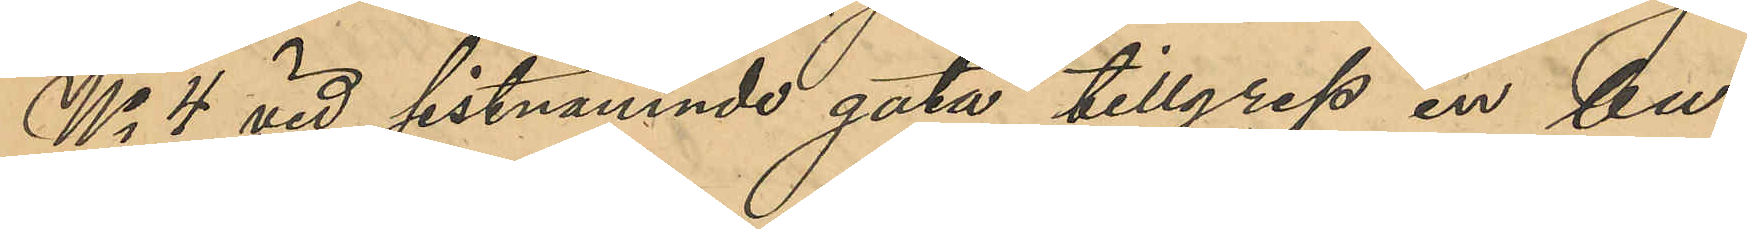No 4 vid sistnämnde gata tillgrep en bu¬
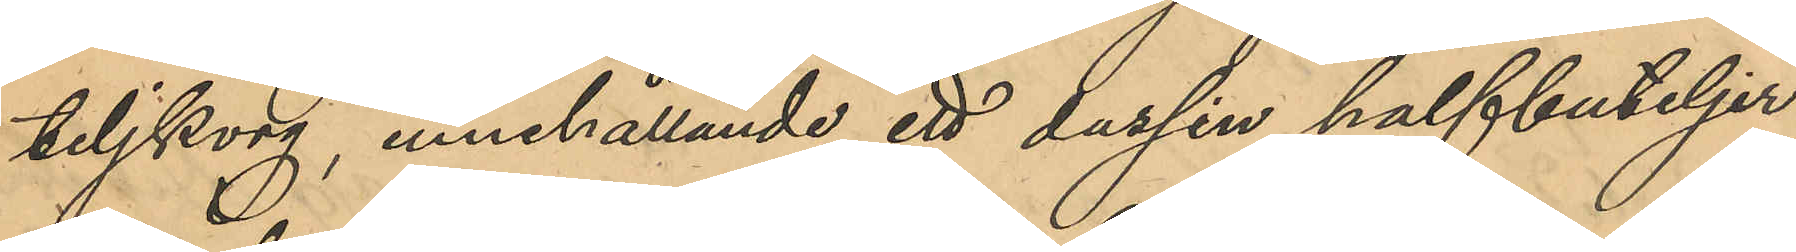teljkorg, innehållande ett dussin halfbuteljer
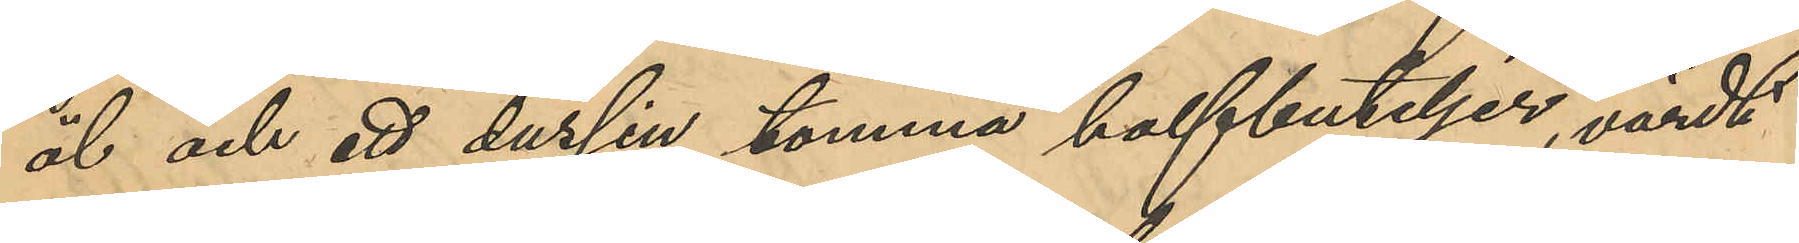öl och ett dussin tomma halfbuteljer, värdt
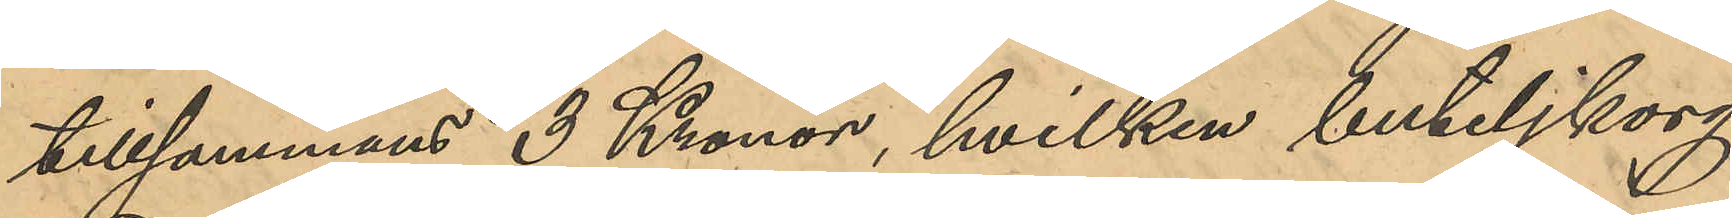tillsammans 3 Kronor, hvilken buteljkorg
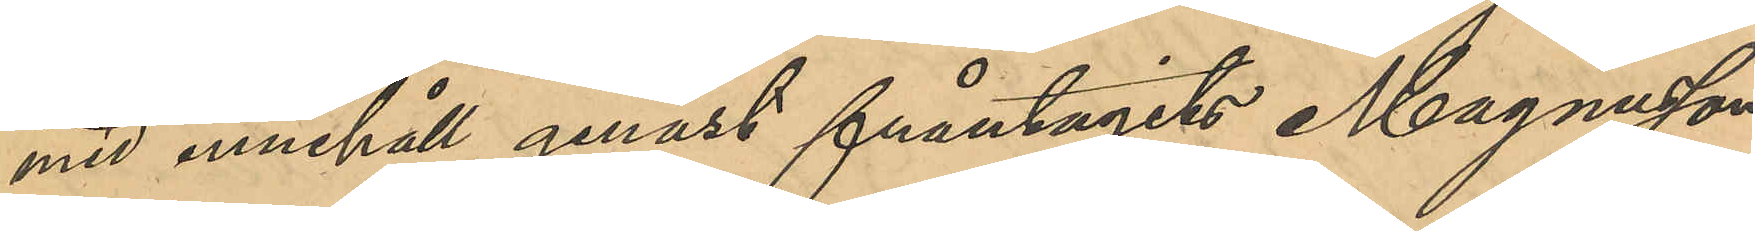med innehåll genast fråntagits Magnusson
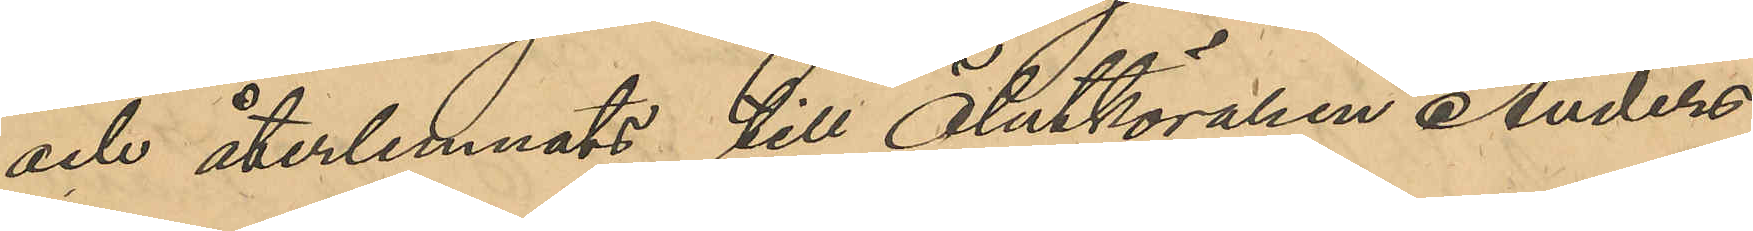och återlemnats till Ölutköraren Anders¬
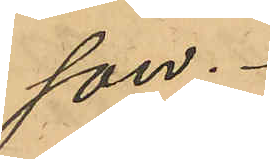son.
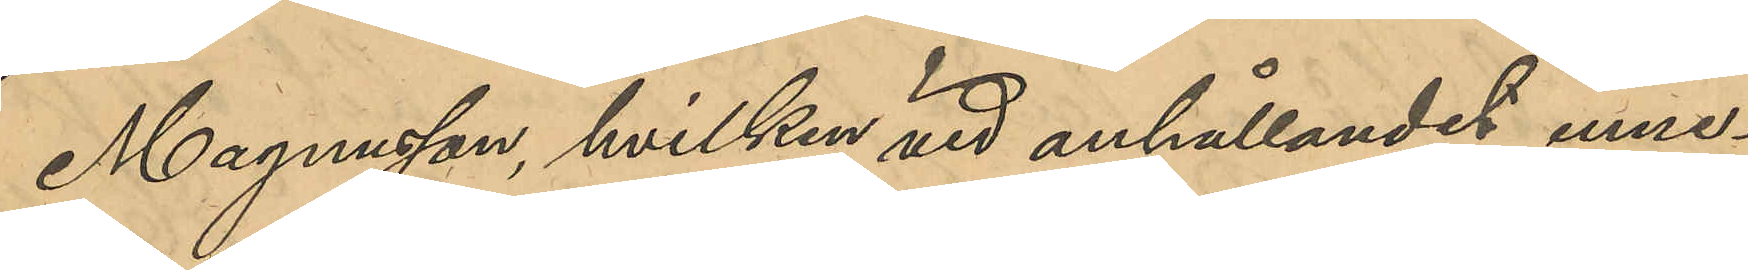Magnusson, hvilken vid anhållandet inne¬
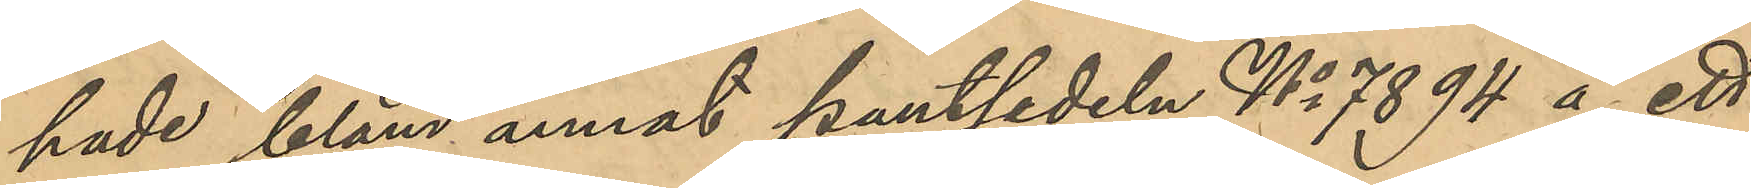hade bland annat pantsedeln No 7894 å ett
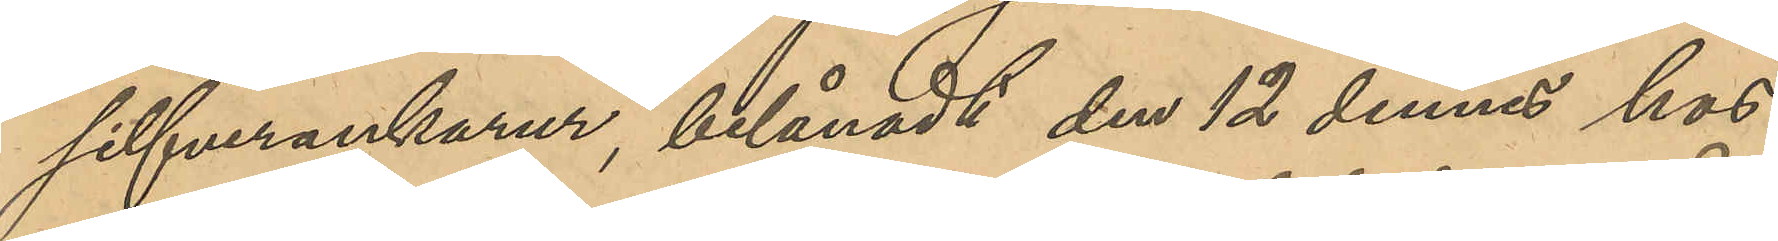silfverankarur, belånadt den 12 dennes hos
